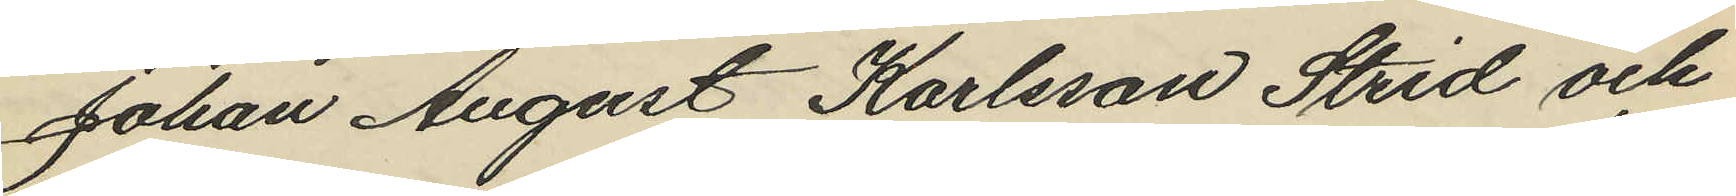Johan August Karlsson Strid och
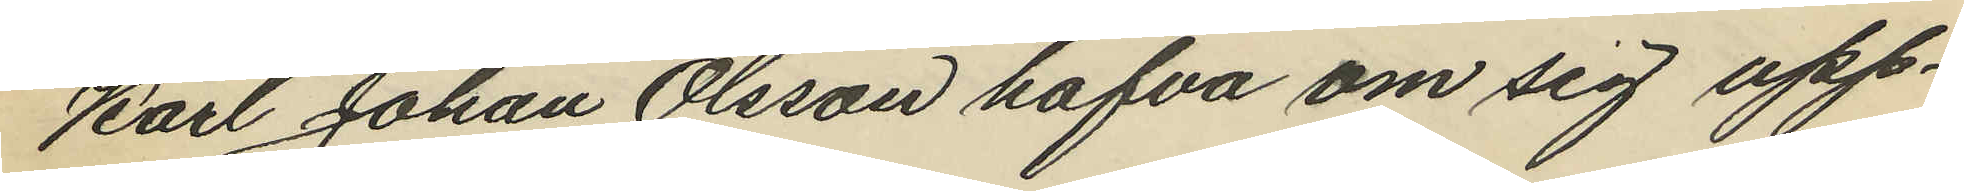Karl Johan Olsson hafva om sig upp¬
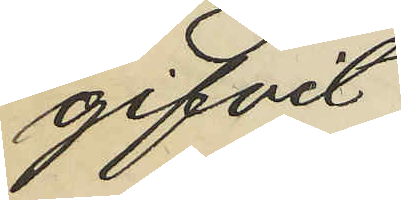gifvit
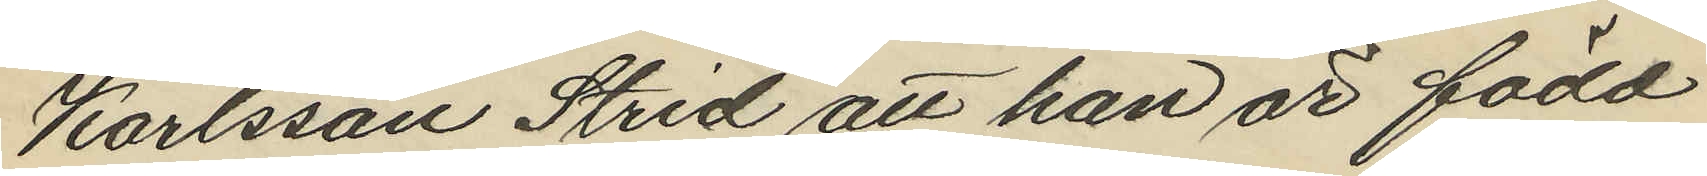Karlsson Strid att han är född
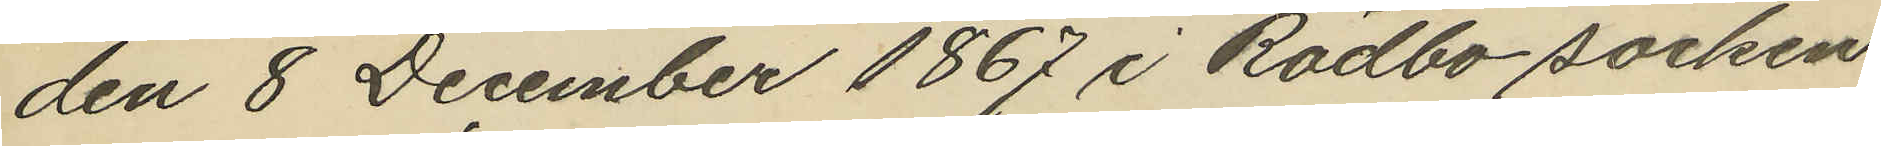den 8 December 1867 i Rödbo socken
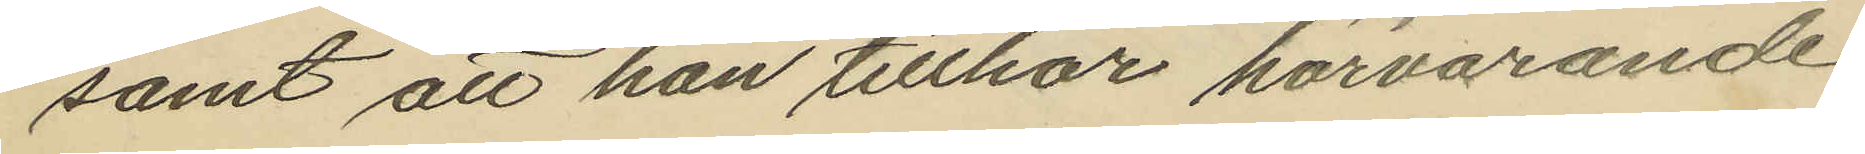samt att han tillhör härvarande
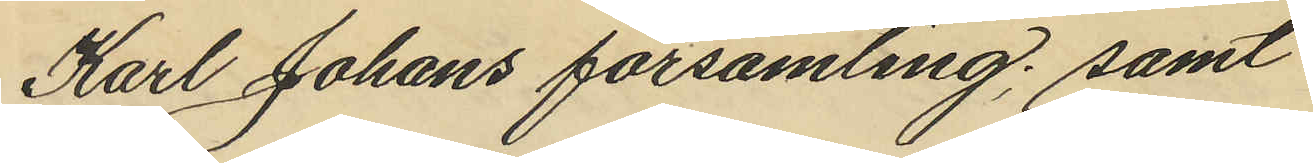Karl Johans församling; samt
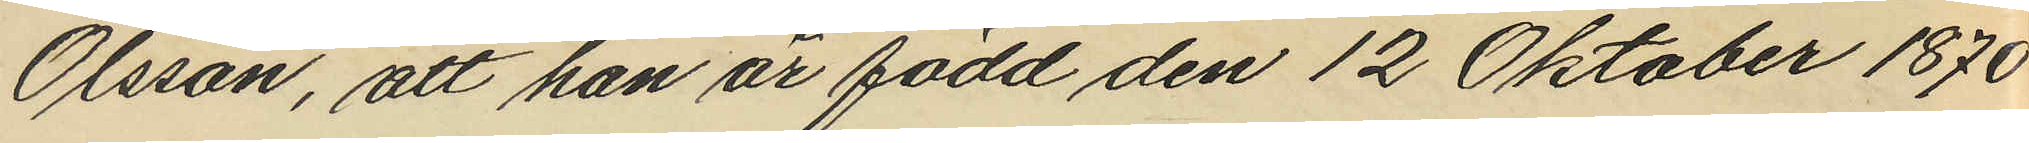Olsson, att han är född den 12 Oktober 1870
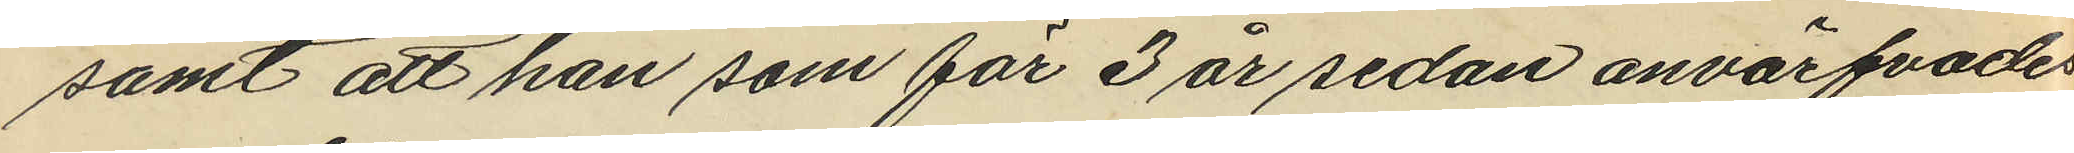samt att han som för 3 år sedan anvärfvades
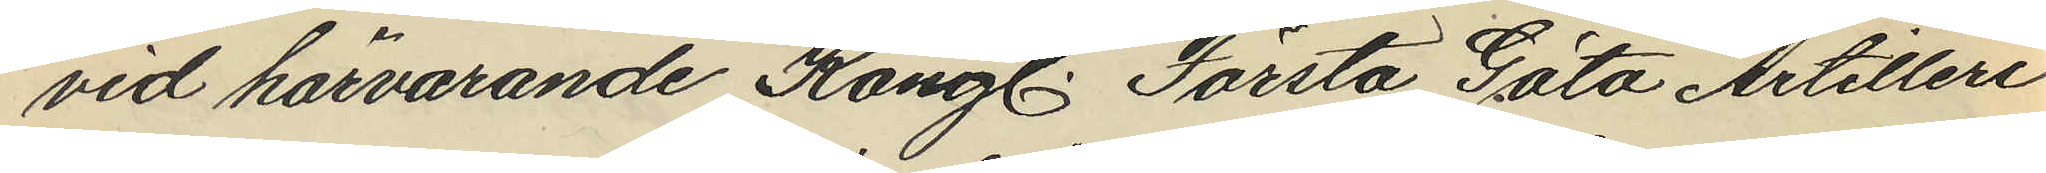vid härvarande Kongl. Första Göta Artilleri
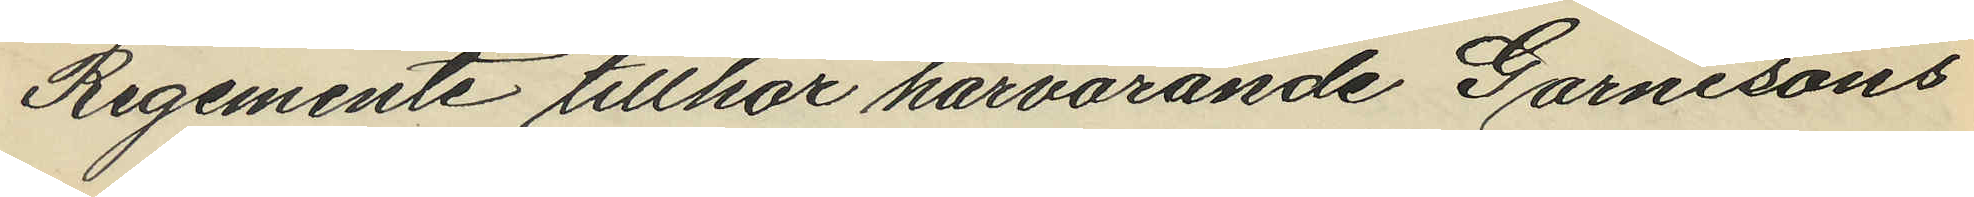Regemente tillhör härvarande Garnisons
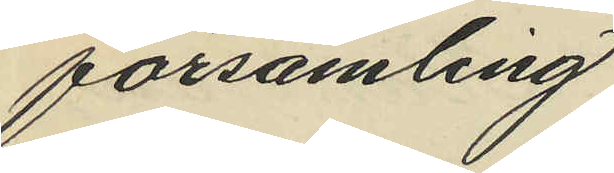församling.
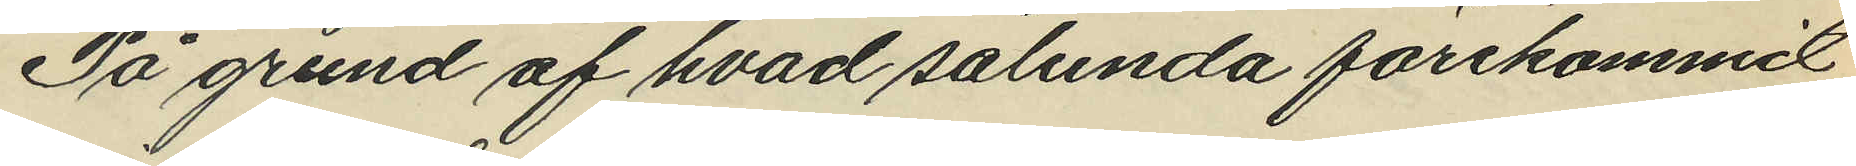På grund af hvad sålunda förekommit
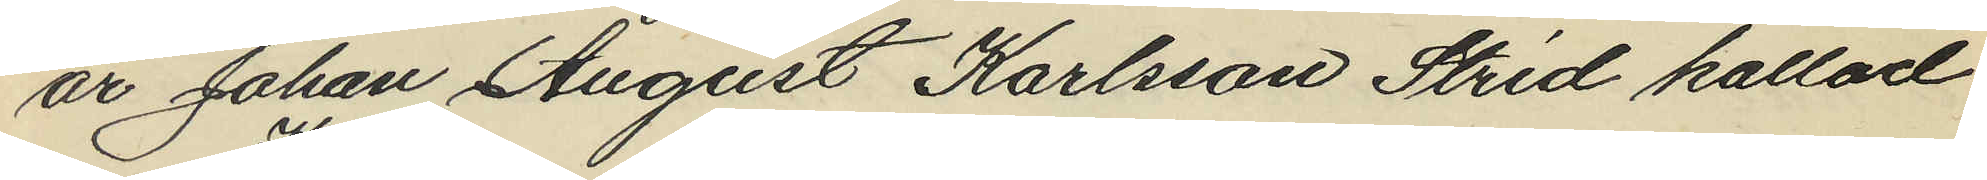är Johan August Karlsson Strid kallad
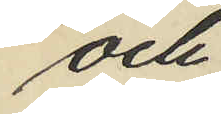och
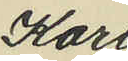Karl
